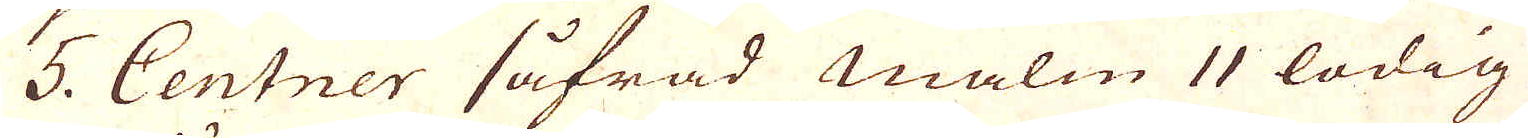5. Centner såfrad Malm 11 lödig
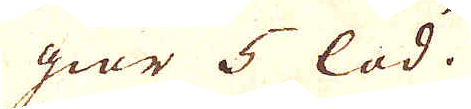giör 5 lod.
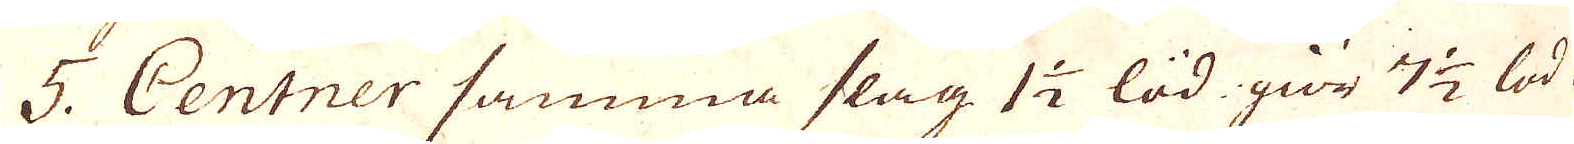5. Centner samma slag 1 1/2 lod gör 7 1/2 lod
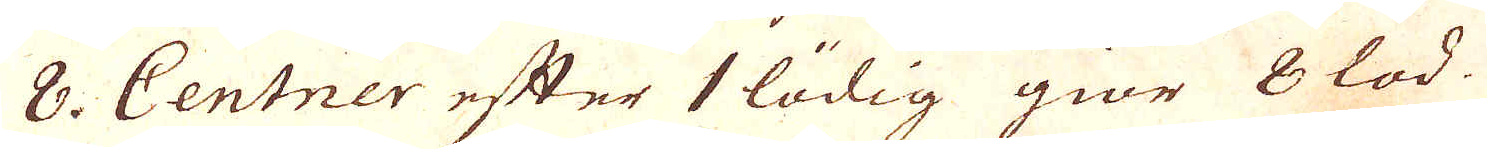8. Centner efter 1 lödig giör 8 lod.
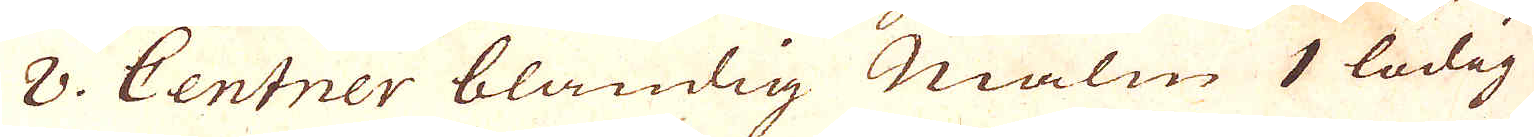8. Centner blandig Malm 1 lodig
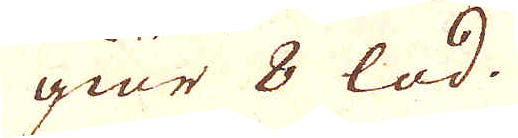giör 8 lod.
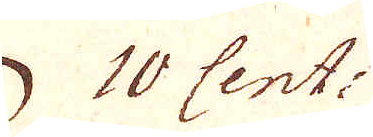10 Cent.
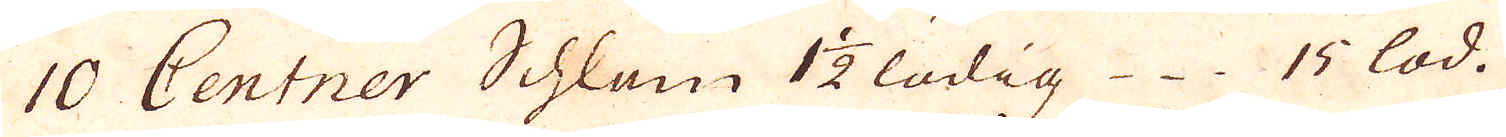10 Centner Schlam 1 1/2 lödig 15 lod.
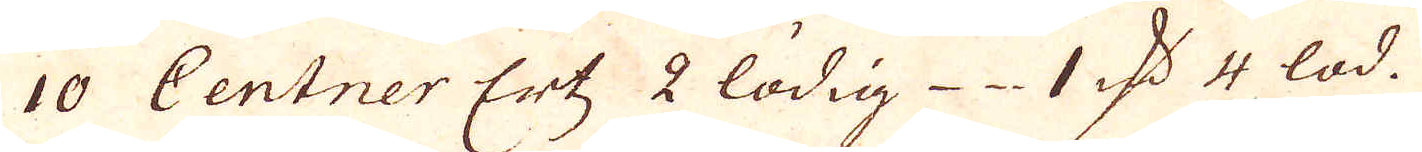10 Centner Ertz, 2 lödig 1 qv:n 4 lod.
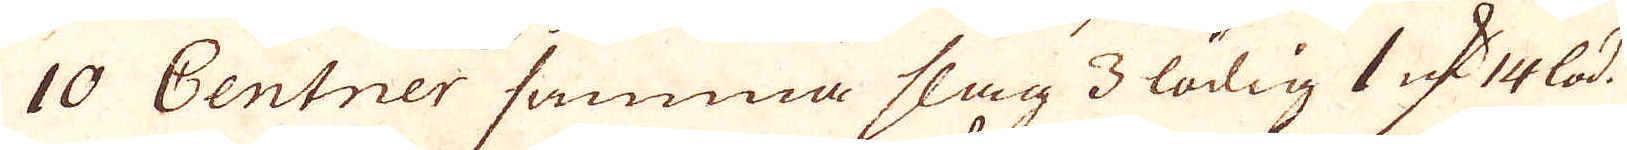10 Centner samma slag 3 lödig 1 qv:n lod.
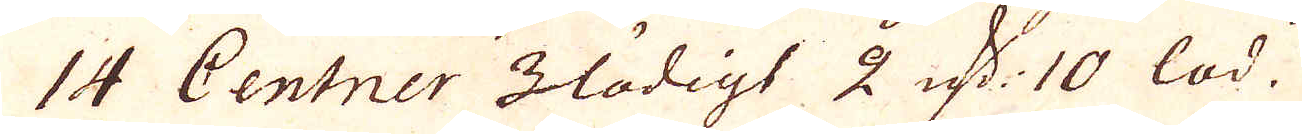14 Centner 3 lödigt 2 qv:r 10 lod.
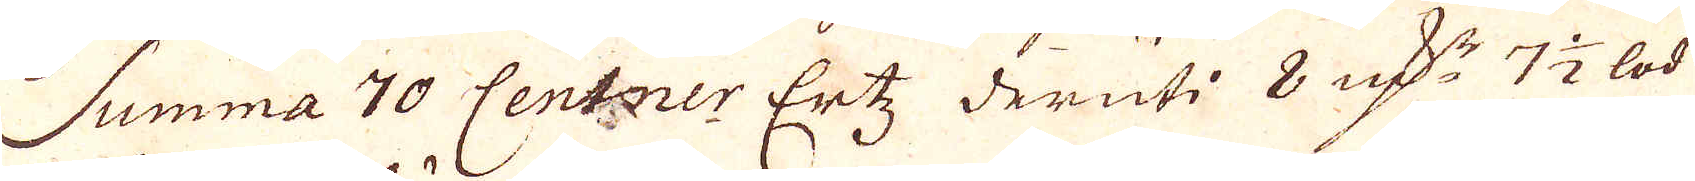Summa 70 Centner Ertz deruti 8 qv:r 7 1/2 lod
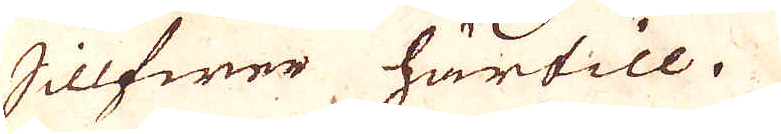Sillfwer härtill.
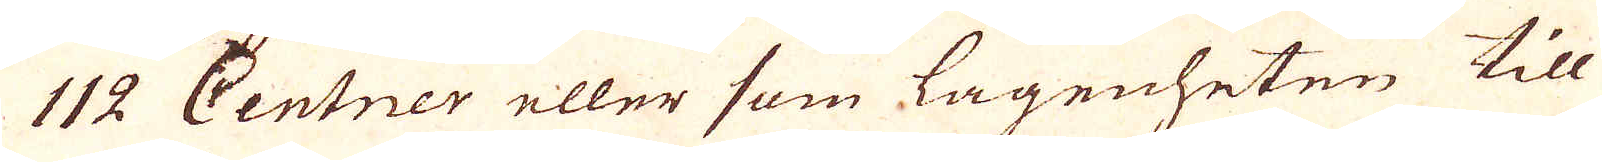112 Centner eller som lagenheten till
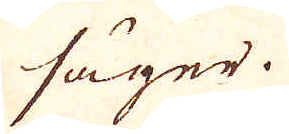säger.
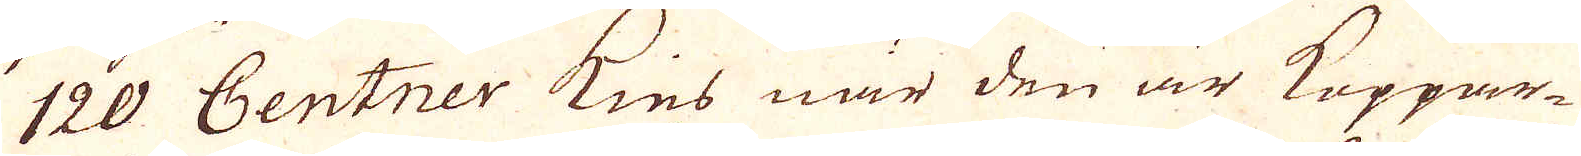120 Centner kies när den är Koppar-
